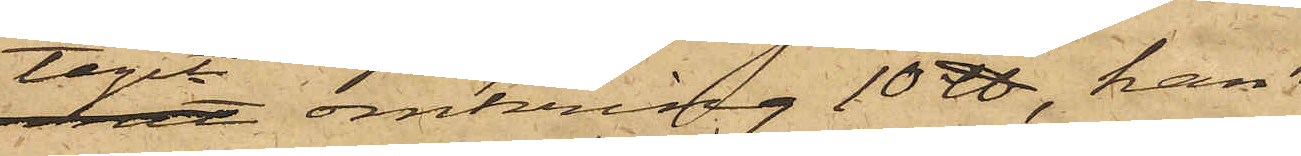tagit omkring 10 ℔, han
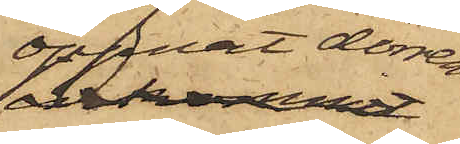öppnat dörren
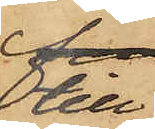till
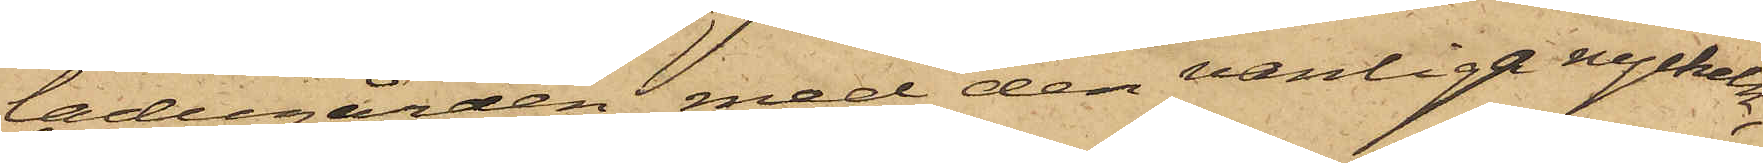ladugården med den vanliga nyckeln,
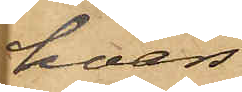hvars
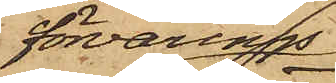förvarings¬
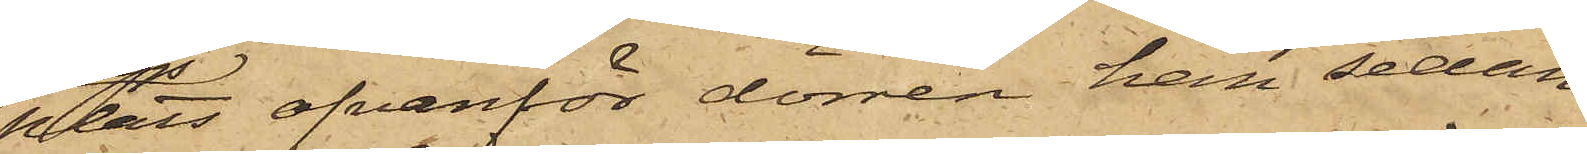plats ofvanför dörren han sedan
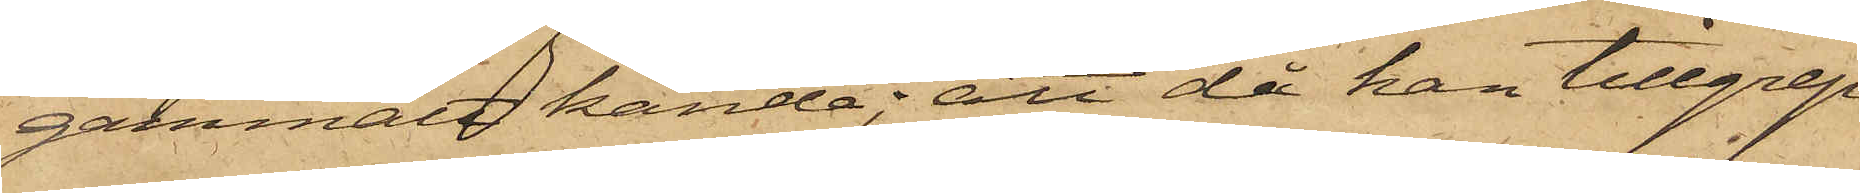gammalt kände; att då han tillgrep
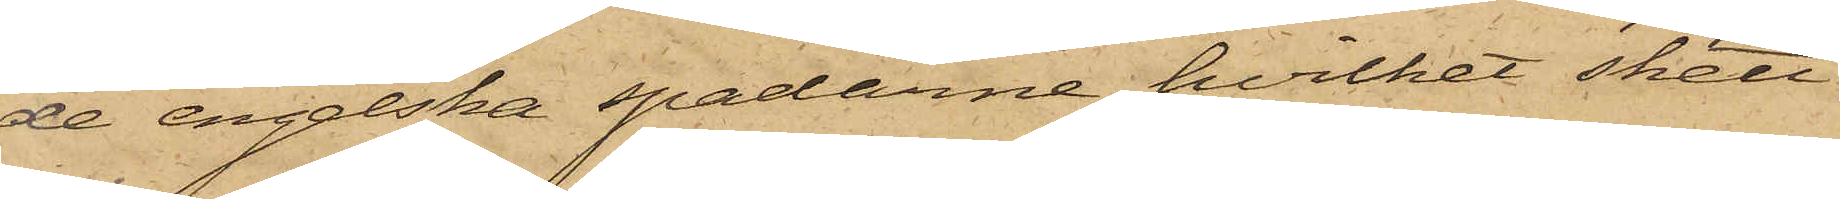de engelska spadarne, hvilket skett
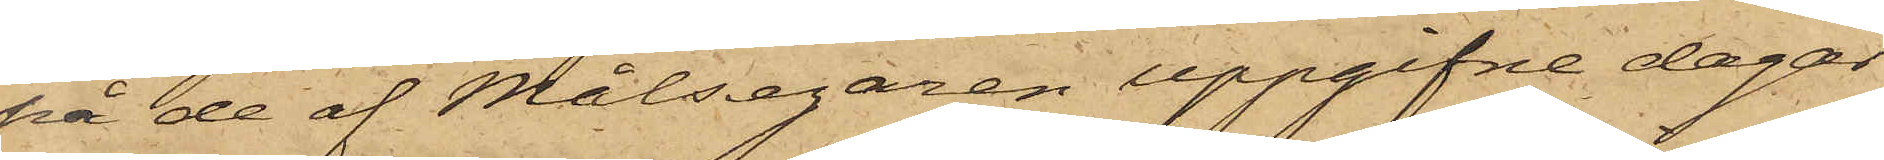på de af Målsegaren uppgifne dagar
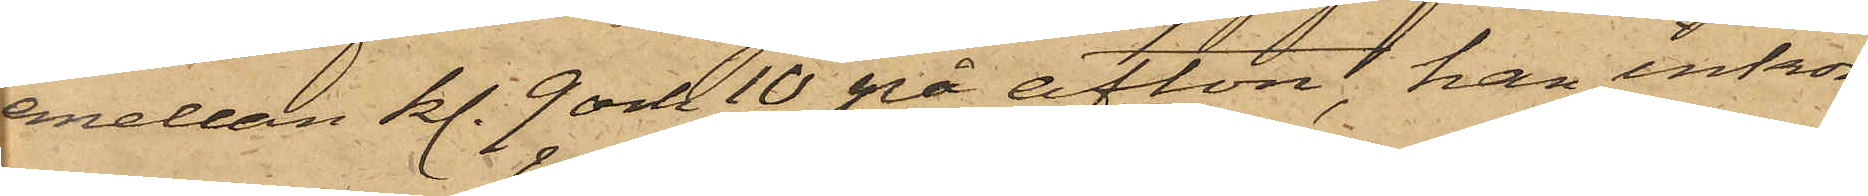emellan kl. 9 och 10 på afton, han inkom¬
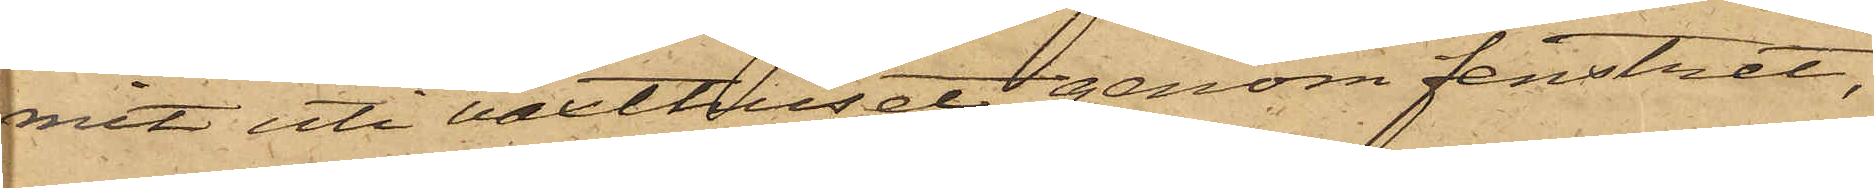mit uti växthuset genom fenstret,
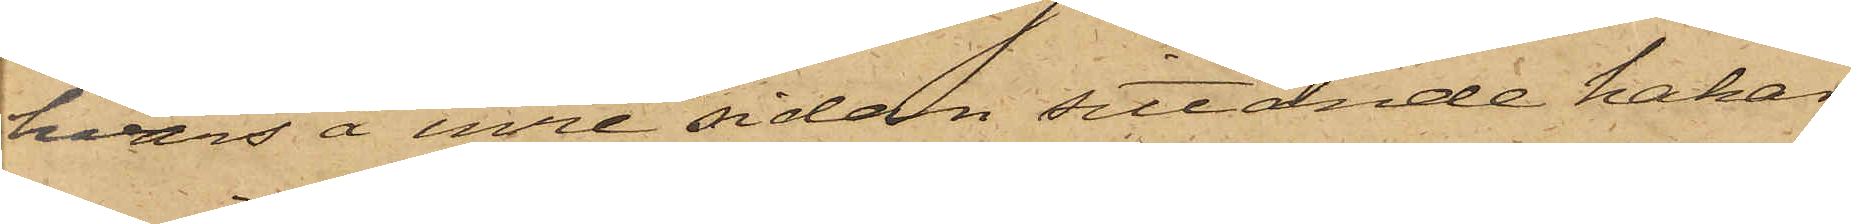hvars å inre sidan sittande hakar
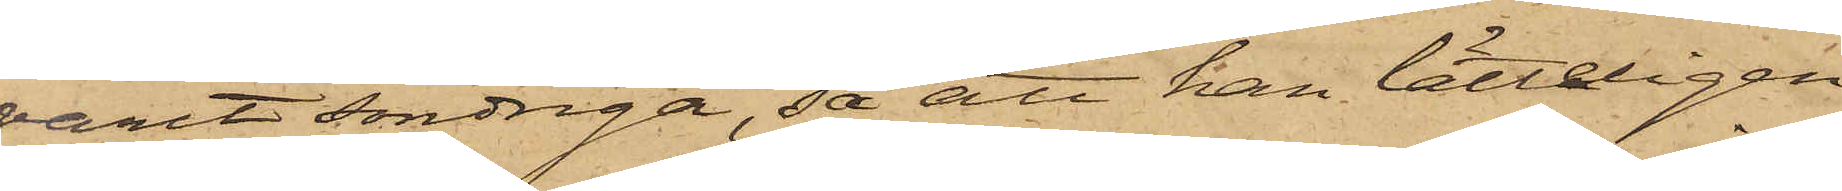varit söndriga, så att han lätteligen
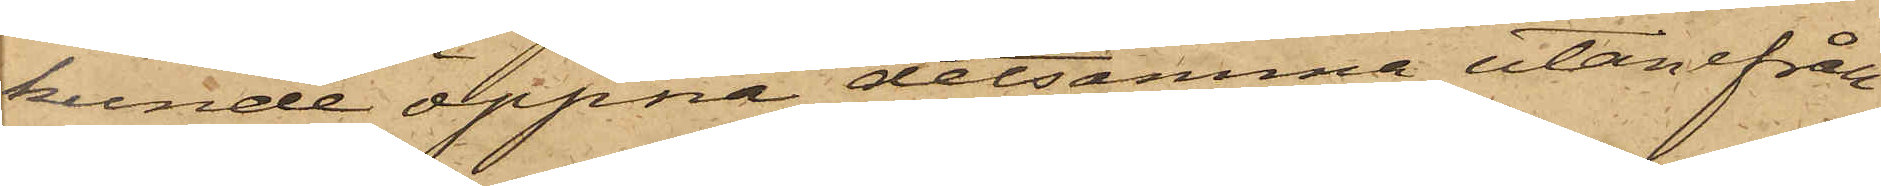kunde öppna detsamma utanifrån
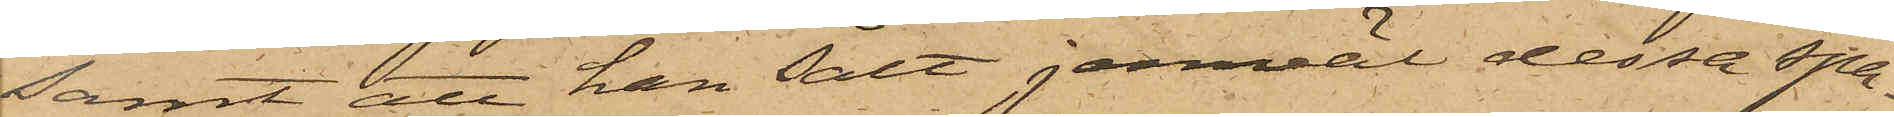samt att han sålt jemväl dessa spa¬
